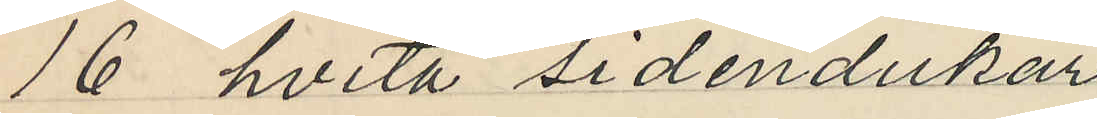16 hvita sidendukar
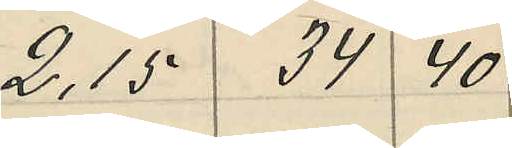2,15 34 40
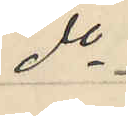do
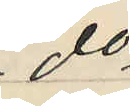do
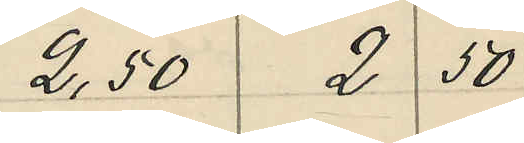2,50 2 50
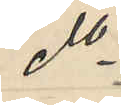do
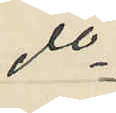do
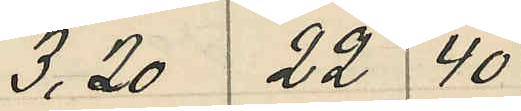3.20 22 40
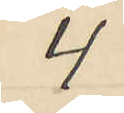4
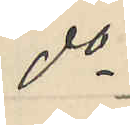do
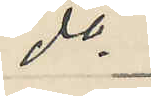do
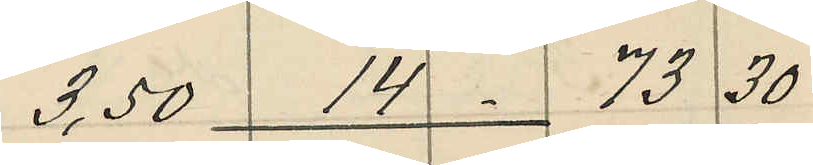3,50 14 73 30
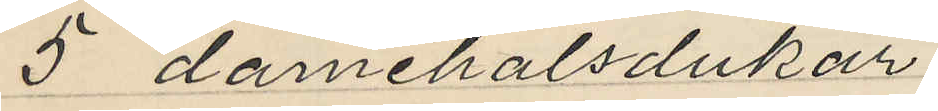5 damehalsdukar
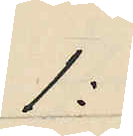1:
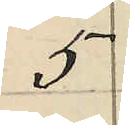5
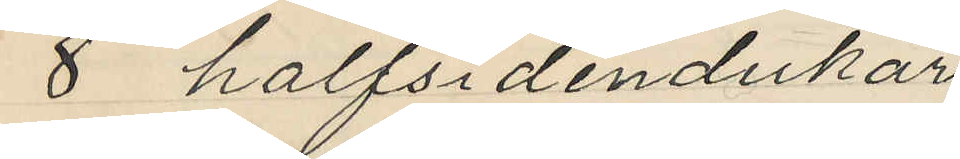8 halfsidendukar
